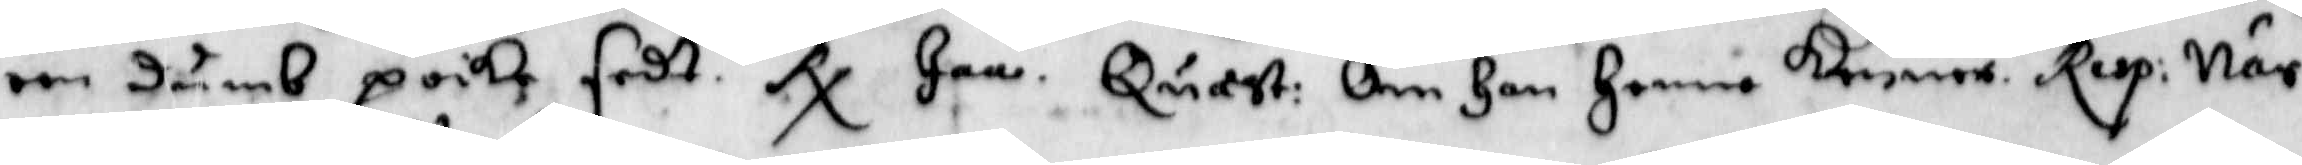een dumb poike sedt. Rx Jaa. Quast: Om Han Henne kenner. Resp: När
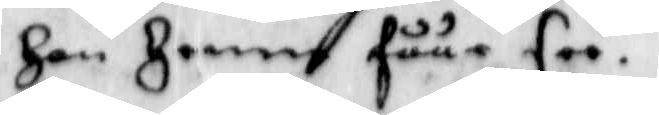Han Henne fåår see.
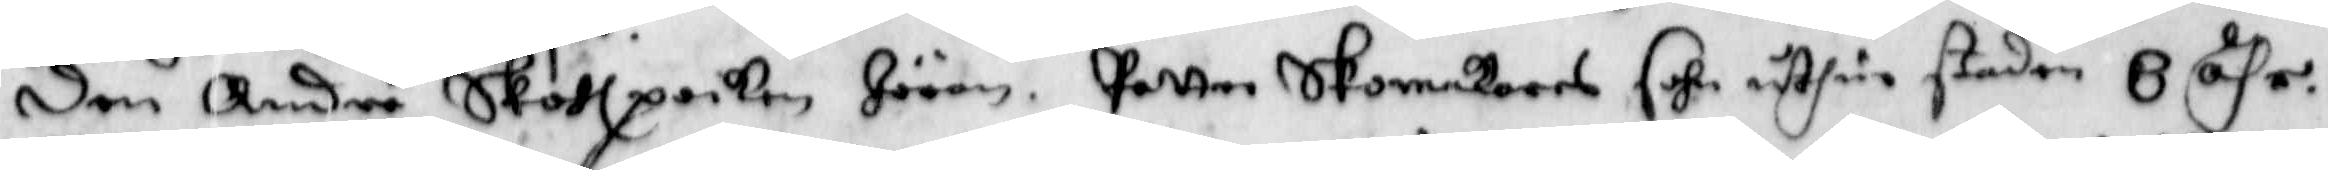Den Andre Skolpoiken Jöran Petter Skomakares sohn uthur staden 8 åhr.
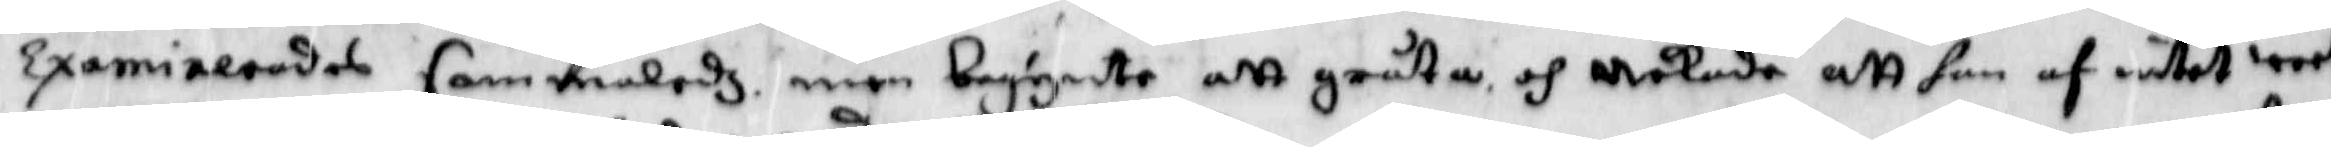Examinerades sammaledz men begynte att gråta och åkade att han af intet weet
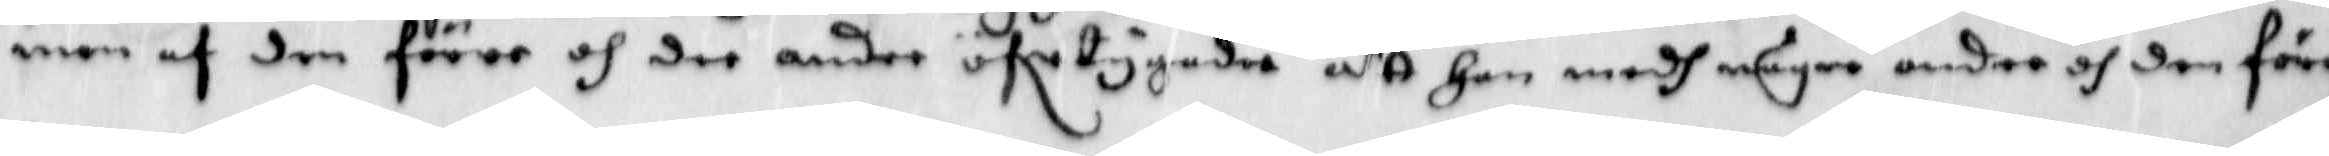men af den förre och dee andre öfertygade att Han medh några andre och den förre
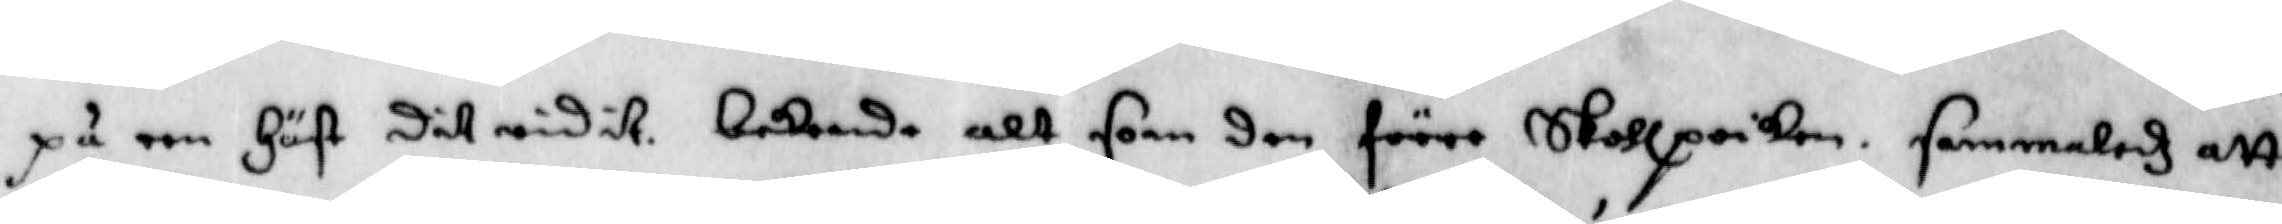på een Häst Dit rudit. bekende alt som den förre Skolpoiken sammaledz att
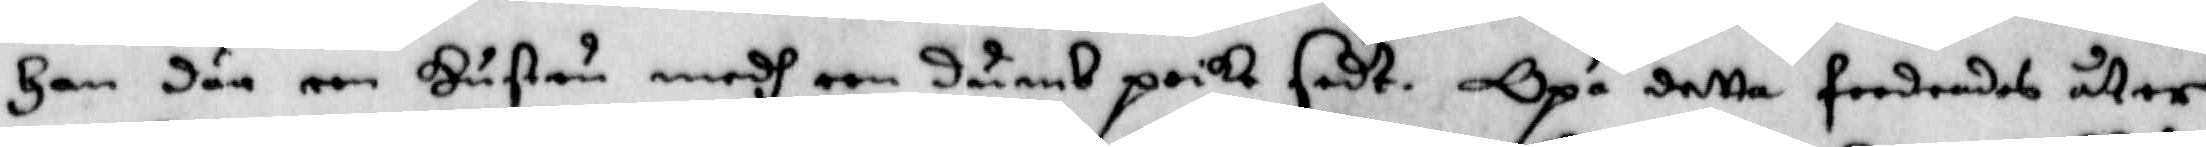Han där een Hustru medh een dumb poike sedt. Opå detta foodrandes åter
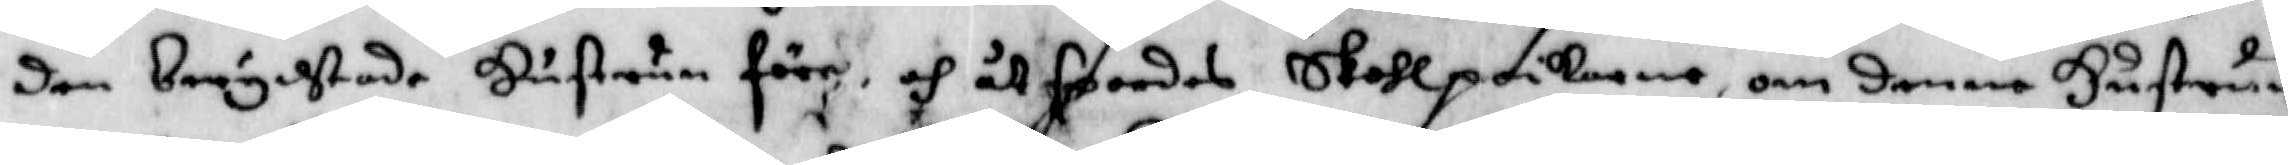den berychtade Hustrun före, och åtspordes Skolpoikarne om denne Hustrun
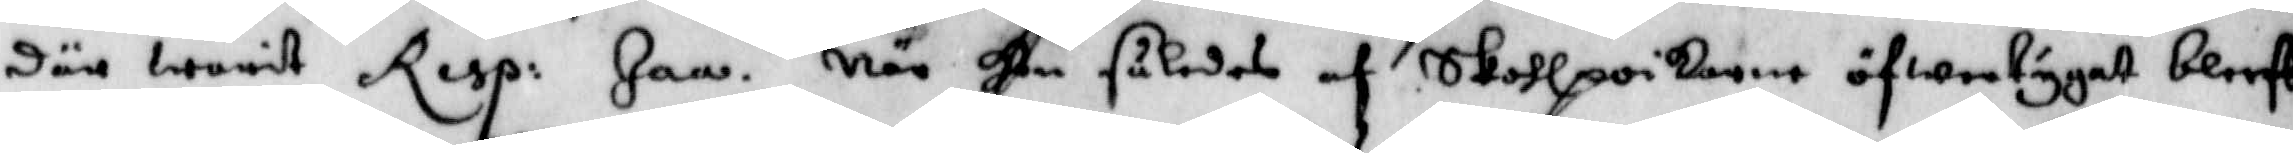där warit Resp: Jaa. När Hon således af Skolpoikarne ögwertygat bleef
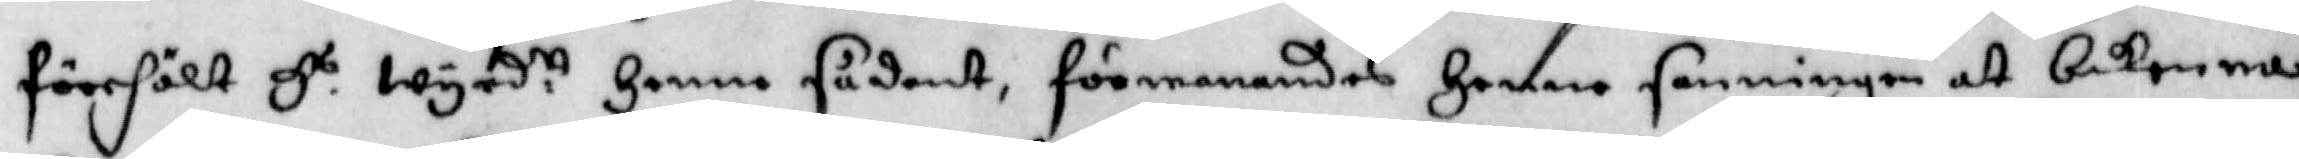förehölt Hs wyrd.tt Henne sådant, förmanandes Henne sanningen at bekomma.
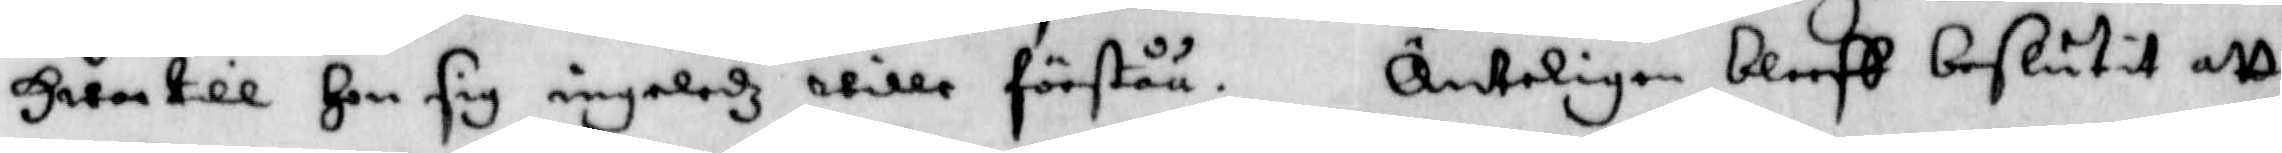Hwartill Hon sig ingaledz wille förståå. Änteligen bleff beslutit att
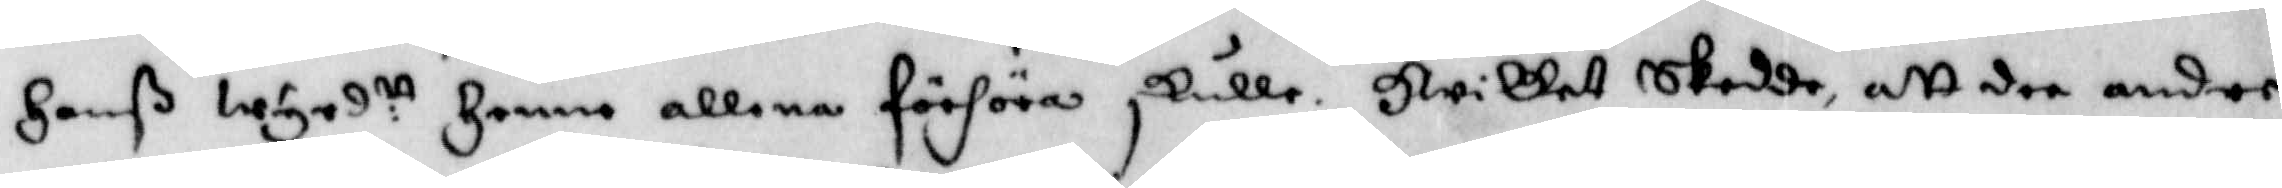Hanß wyrd.tt Henne allena förhöra skulle. Hwilket skedde, att dee andre
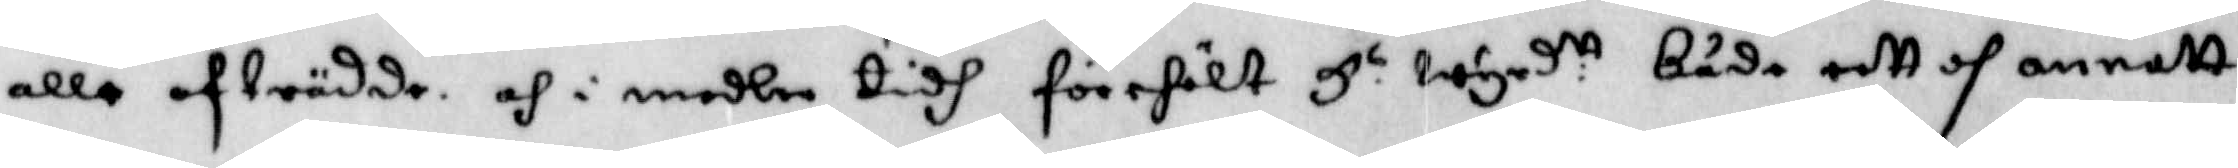alle afträdde. och i medlen tidh förehölt H.s wyrd.tt både eett och annatt
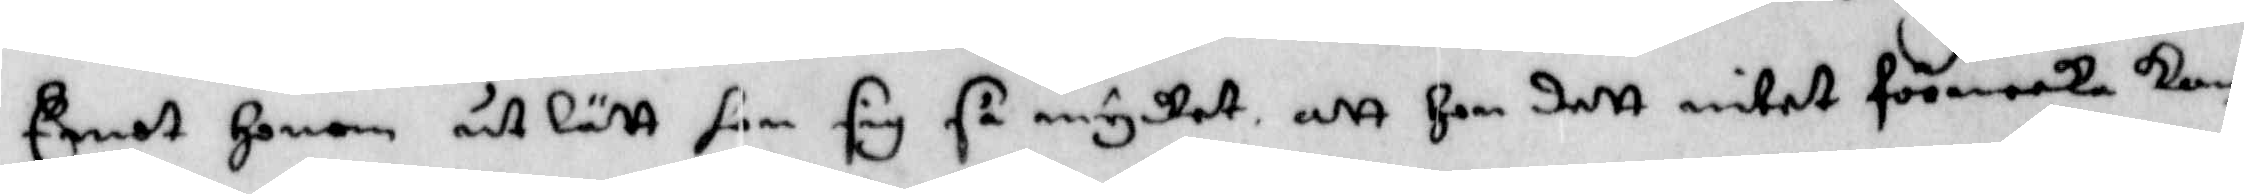Emot Honom utlätt hon sig så mycket att Hon dett intet förneeka kan
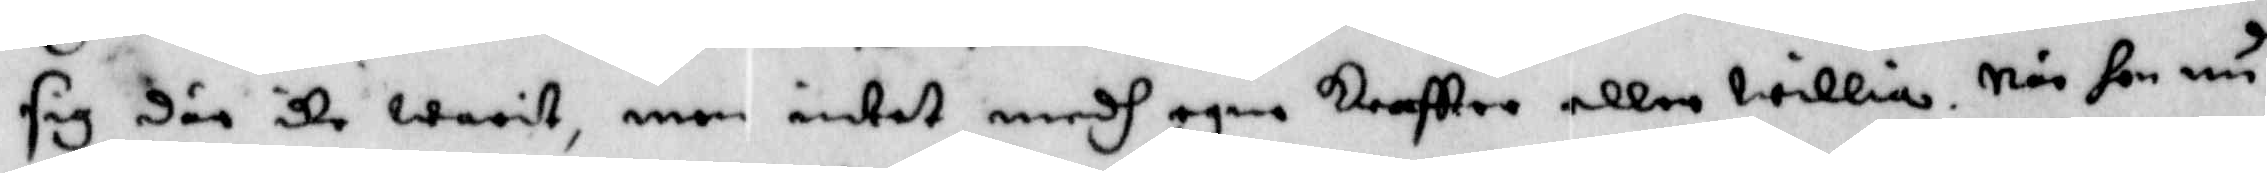sig där ike warit, men intet medh egne kraftter eller willie. När hon nu
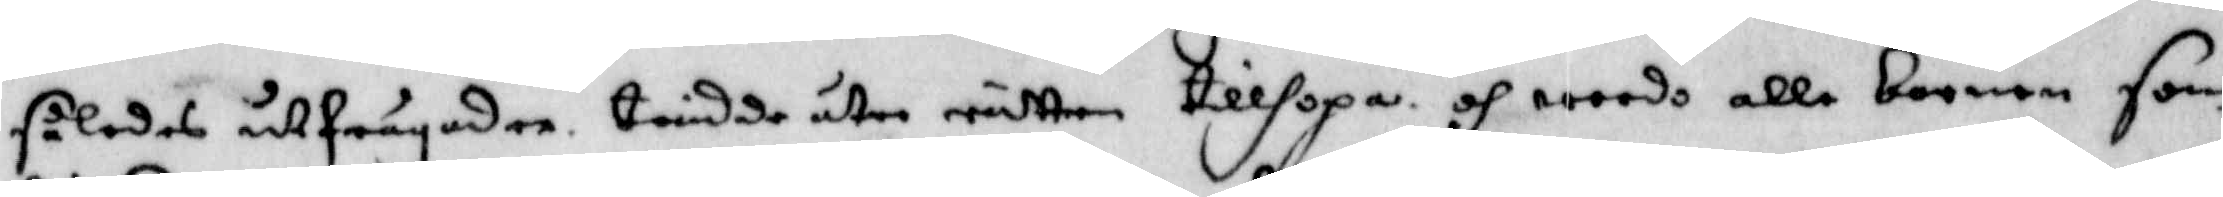således utfrågader trenne åter rätten tillhopa och worde alle barnen som
